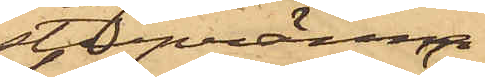stupränna,
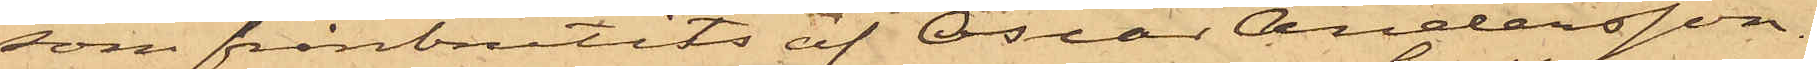som frånbrutits af Oscar Andersson,
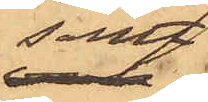samt
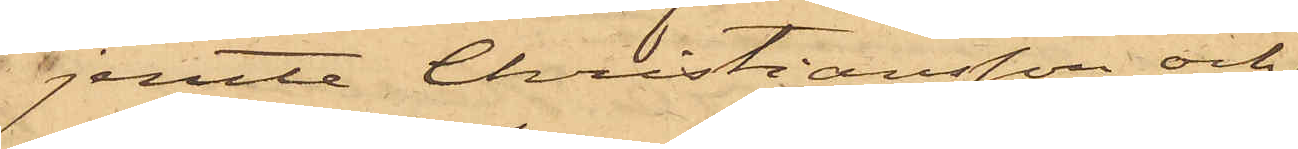jemte Christiansson och
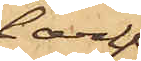Carl
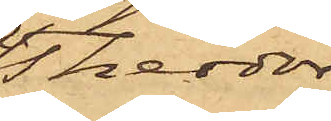Theodor
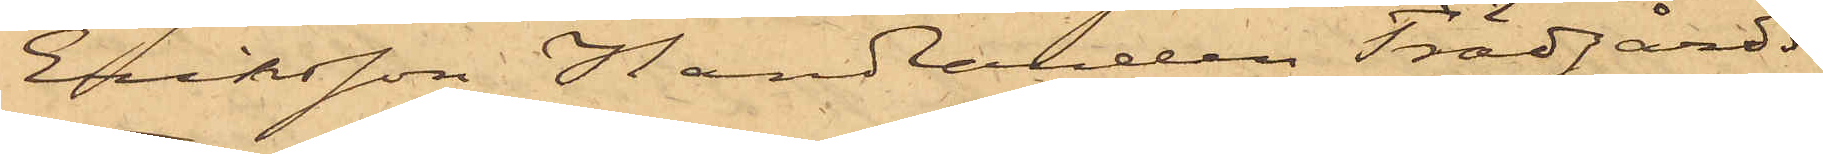Eriksson Handlanden Trädgårds
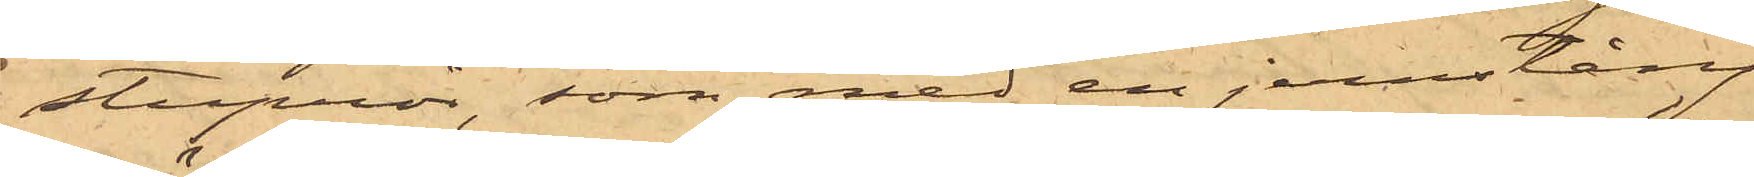stuprör, som med en jernstång
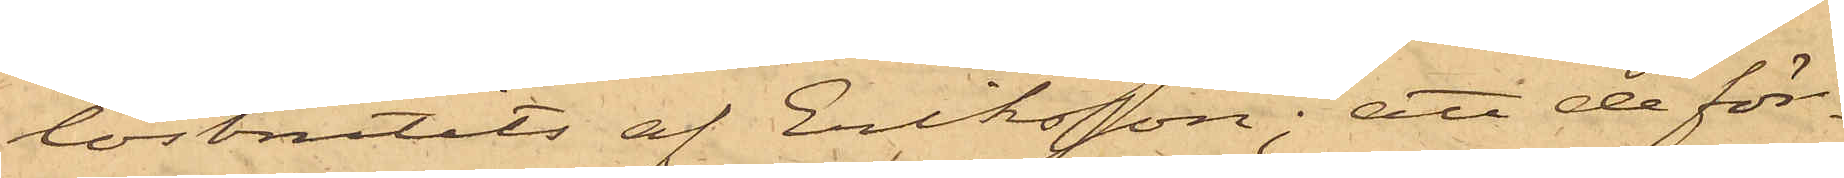lösbrutits af Eriksson; att de för¬
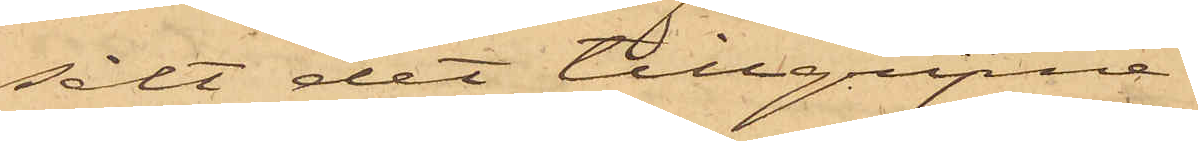sålt det tillgripne
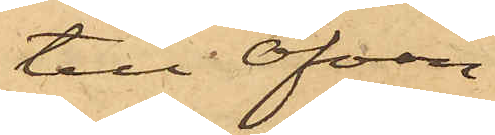till ofvan¬
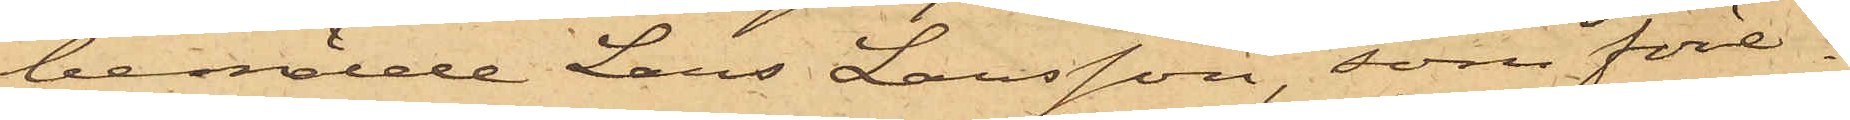bemälde Lars Larsson, som före¬
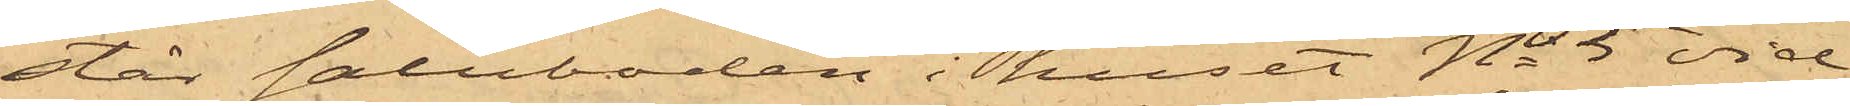står saluboden i huset No 5 vid
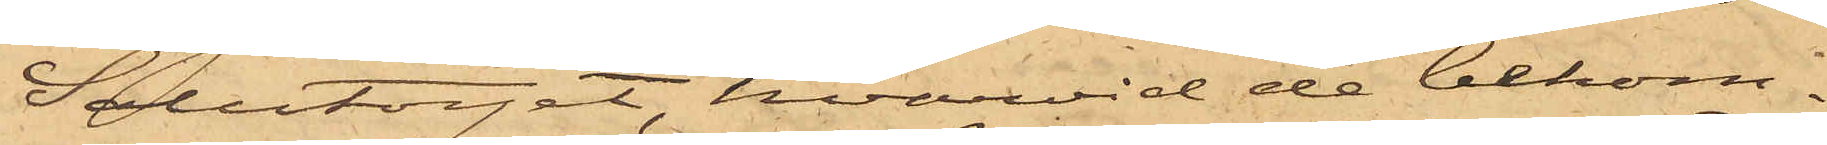Salutorget, hvarvid de bekom¬
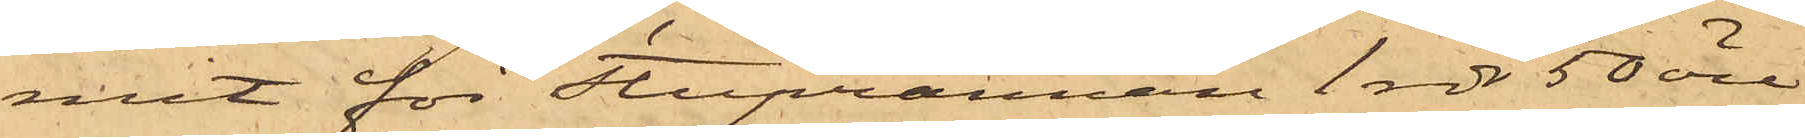mit för Stuprännan 1 rdr 50 öre
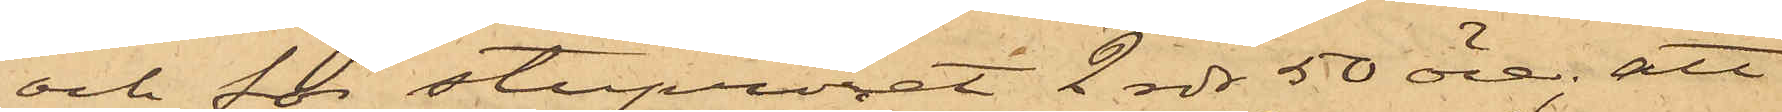och för stupröret 2 rdr 50 öre; att
